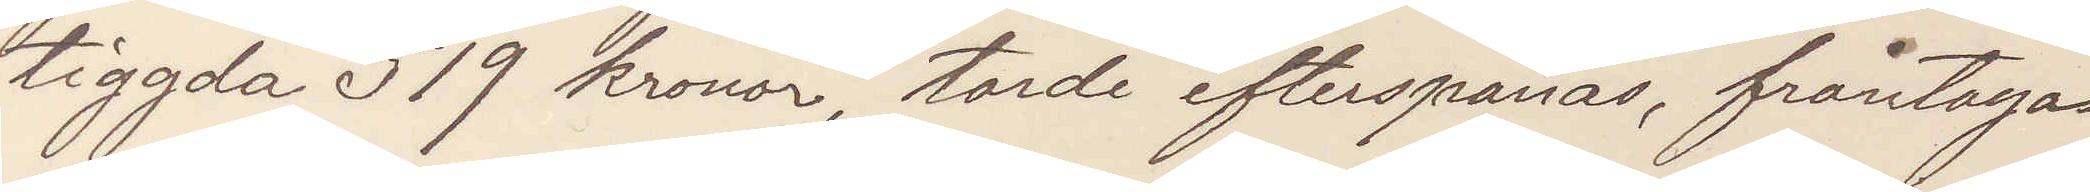tiggda 519 kronor, torde efterspanas, fråntagas
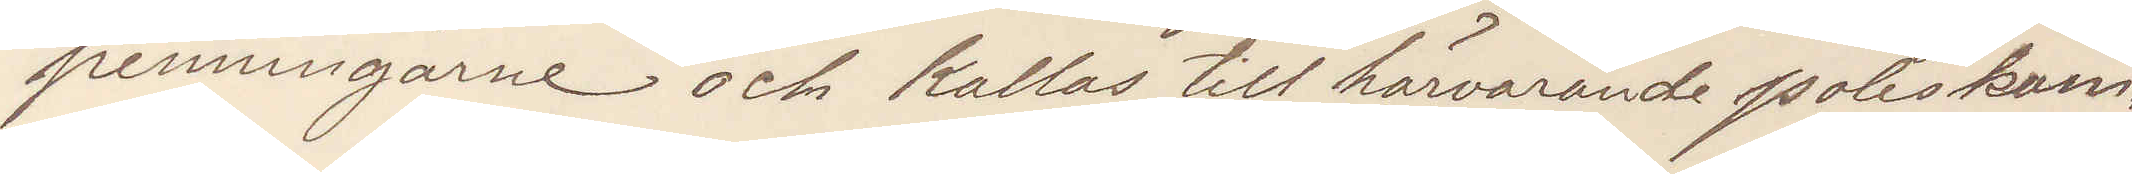penningarne och kallas till härvarande poliskam¬
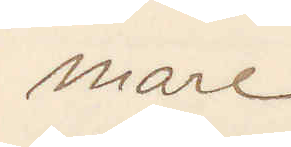mare
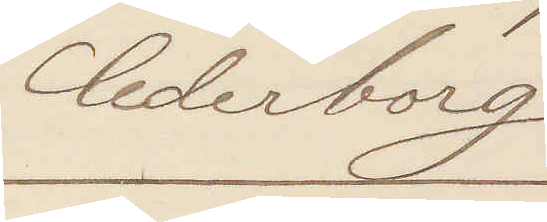Cederborg
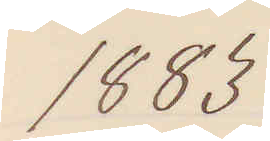1883
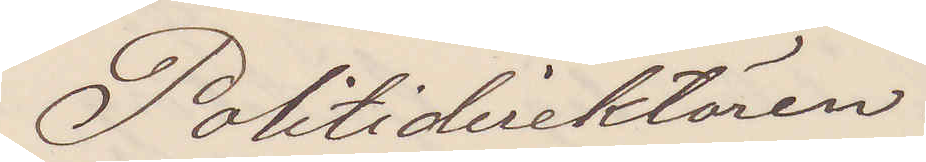Politidirektören.
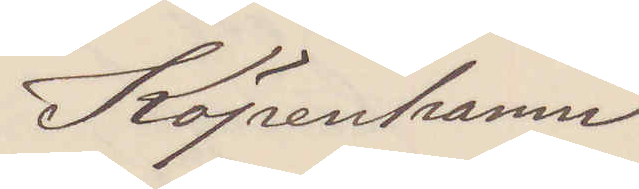Köpenhamn
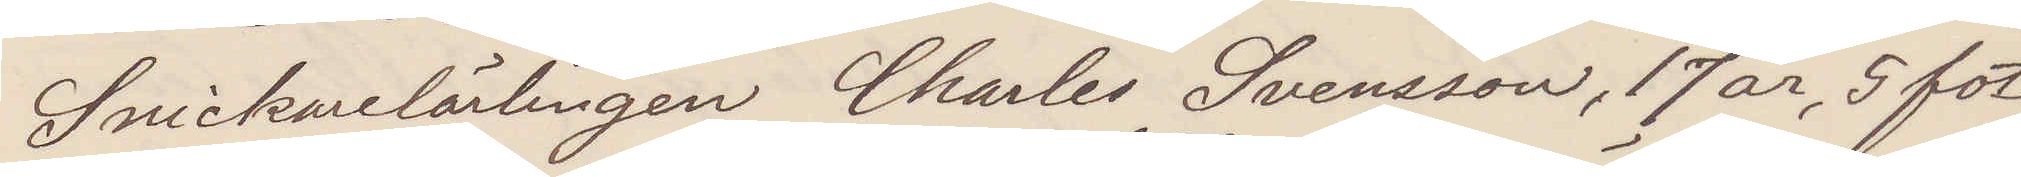Snickarelärlingen Charles Svensson, 17 år, 5 fot
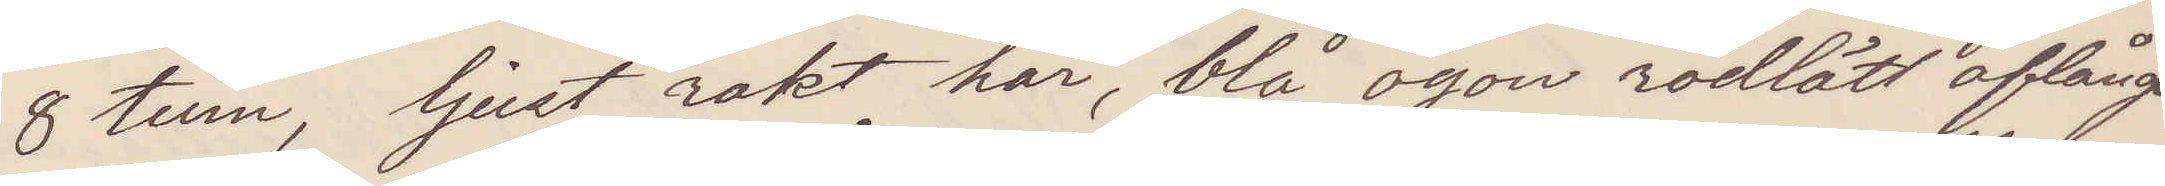8 tum, ljust rakt hår, blå ögon rödlätt aflångt
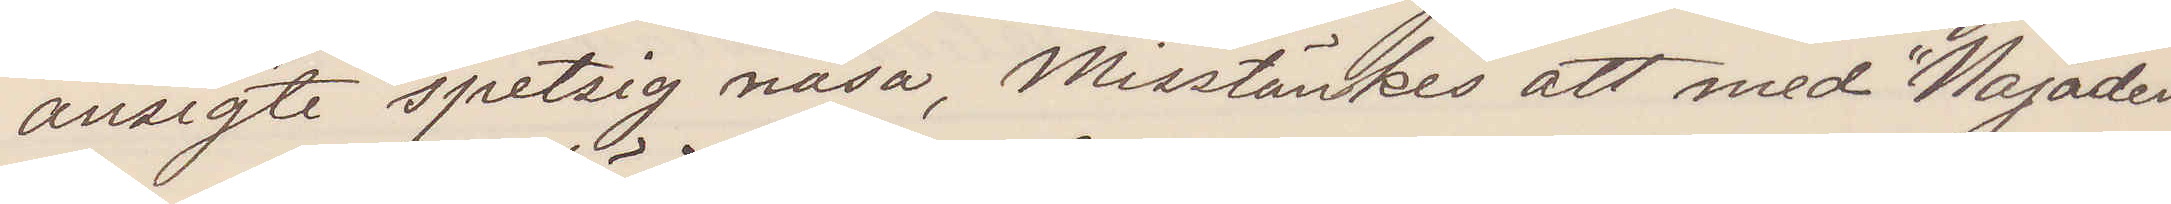ansigte spetsig näsa, Misstänkes att med "Najaden"
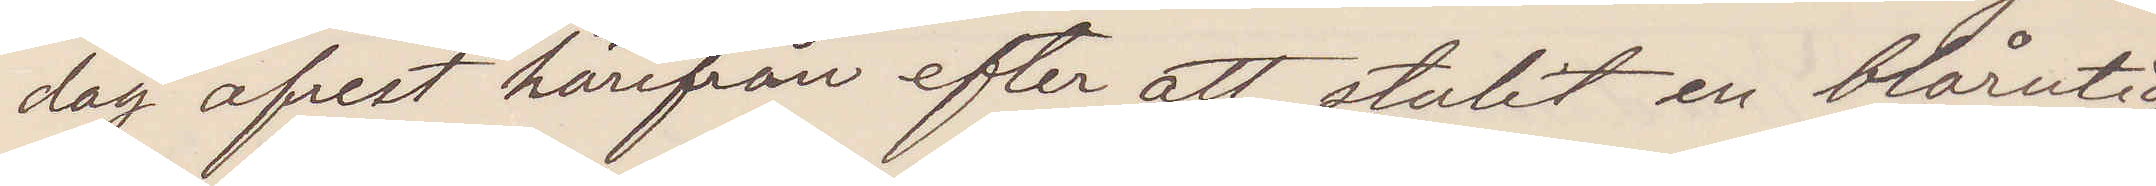dag afrest härifrån efter att stulit en blårutig
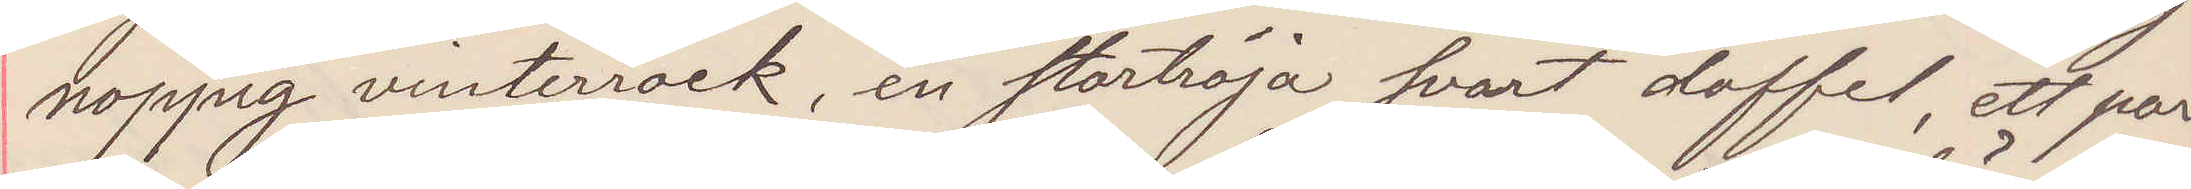noppig vinterrock, en stortröja svart doffel, ett par
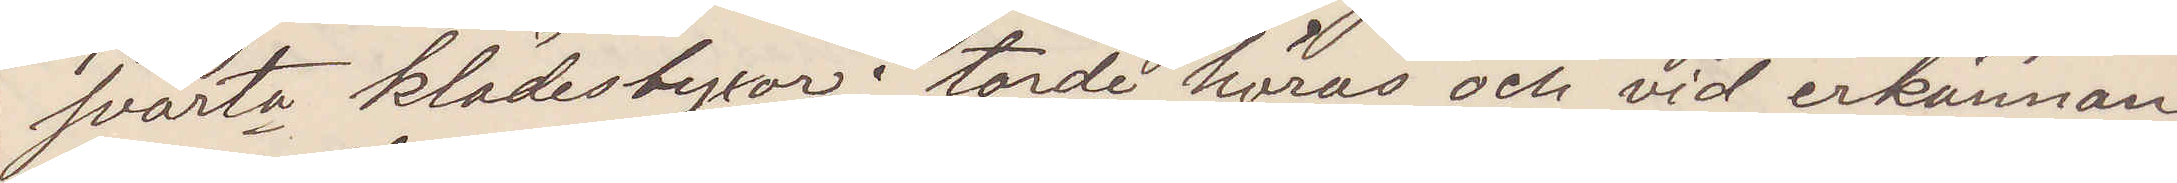svarta klädesbyxor; torde höras och vid erkännan¬
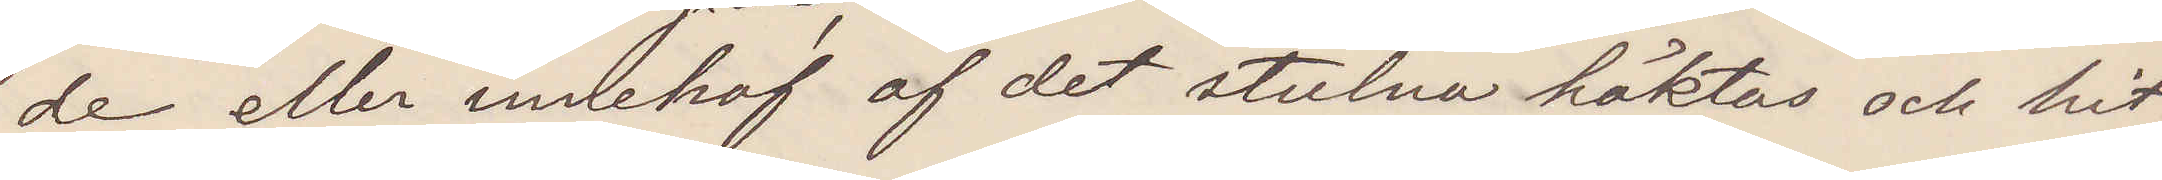de eller innehaf af det stulna häktas och hit¬
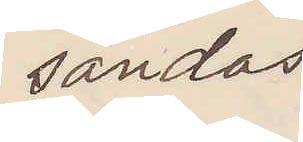sändas
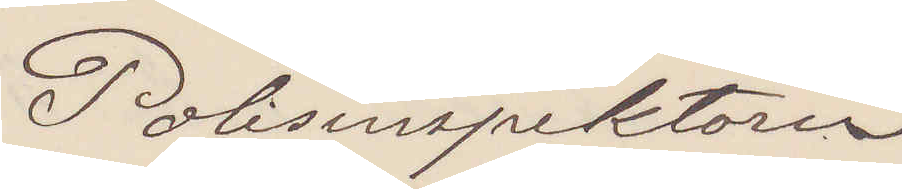Polisinspektorn
